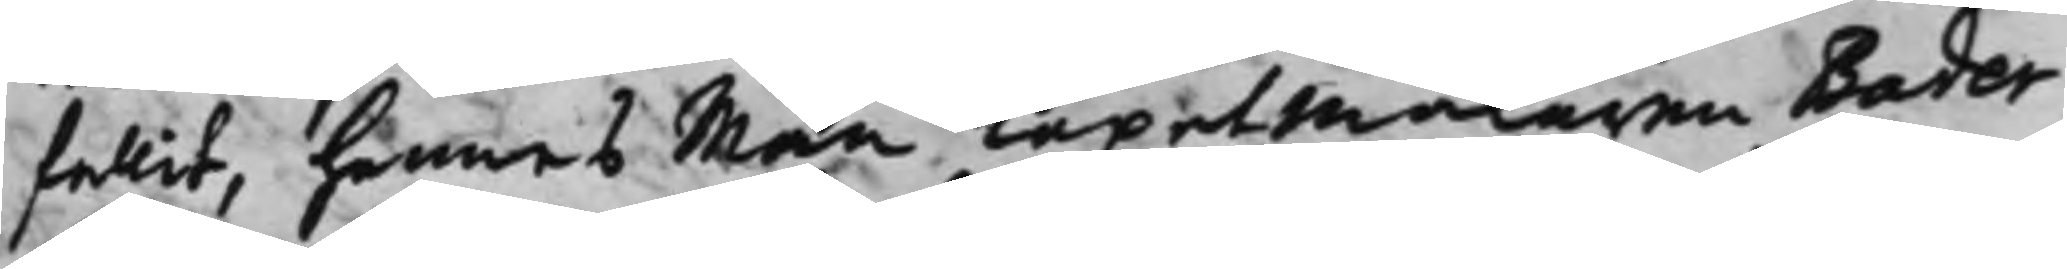fallit, hennes Man Tapetmakaren Bader
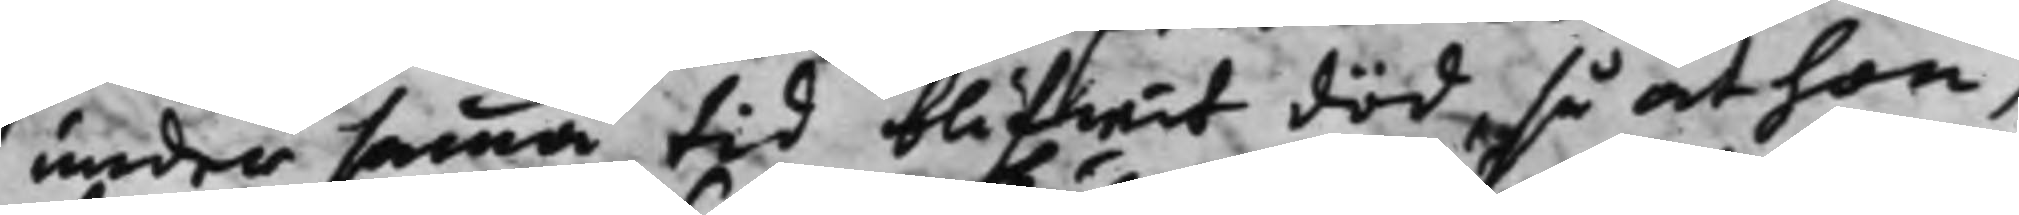under samma tid blifwit död så at hon,
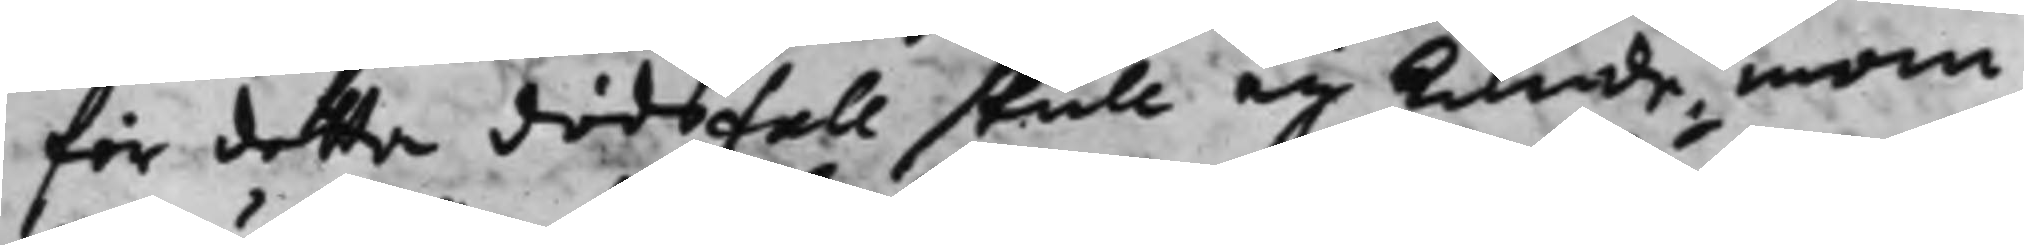för detta dödsfall skull ey kunde inom
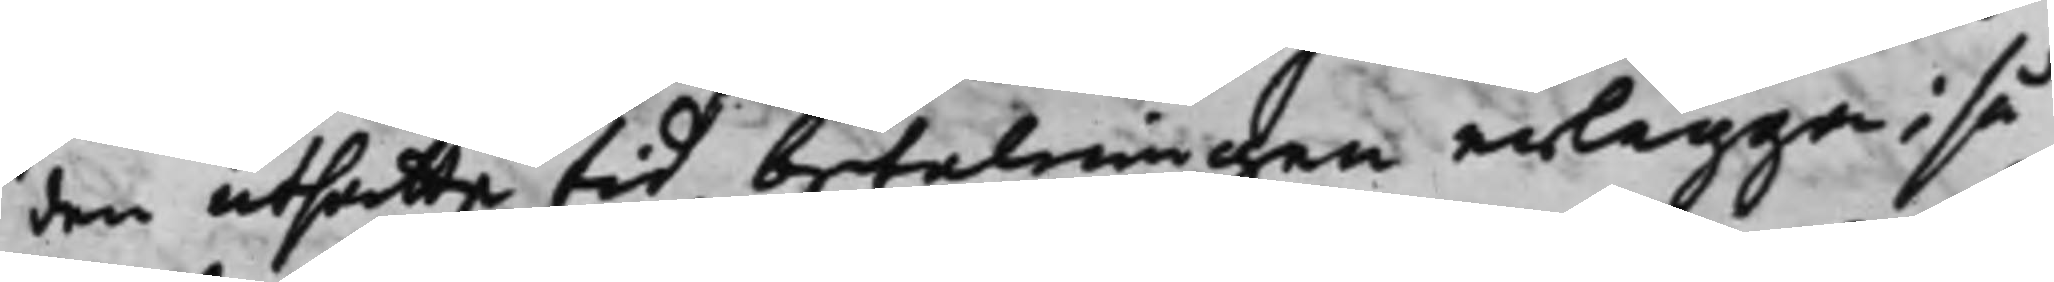den utsatte tid betalningen erlägga; så
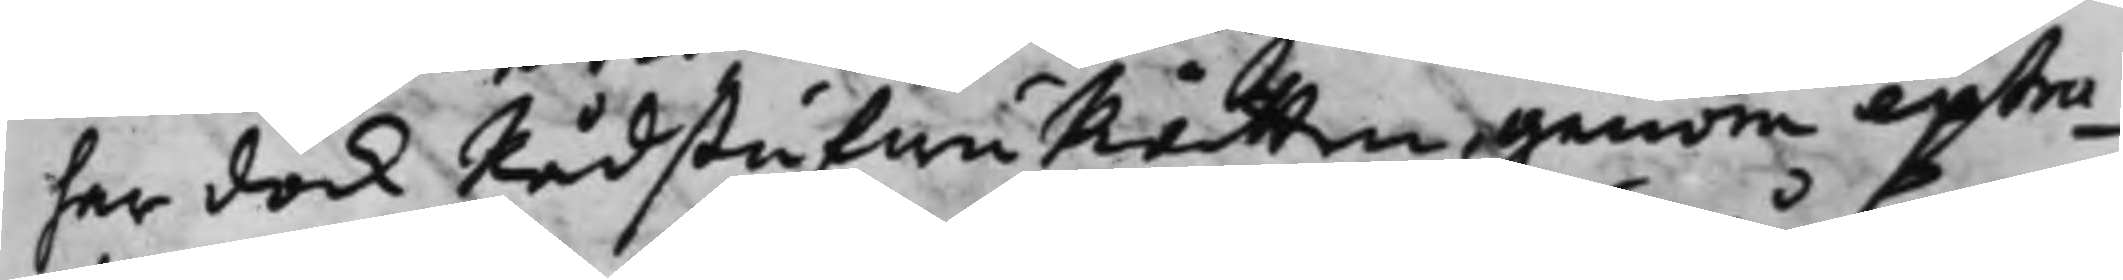har dock RådstufwuRätten genom extra¬
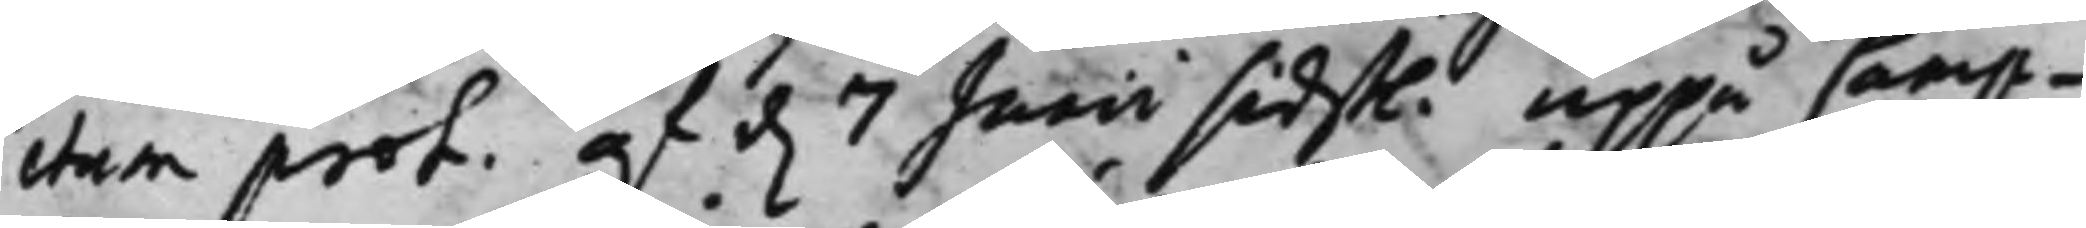ctum prot. af d. 7 Junii sidstl. uppå Camp¬
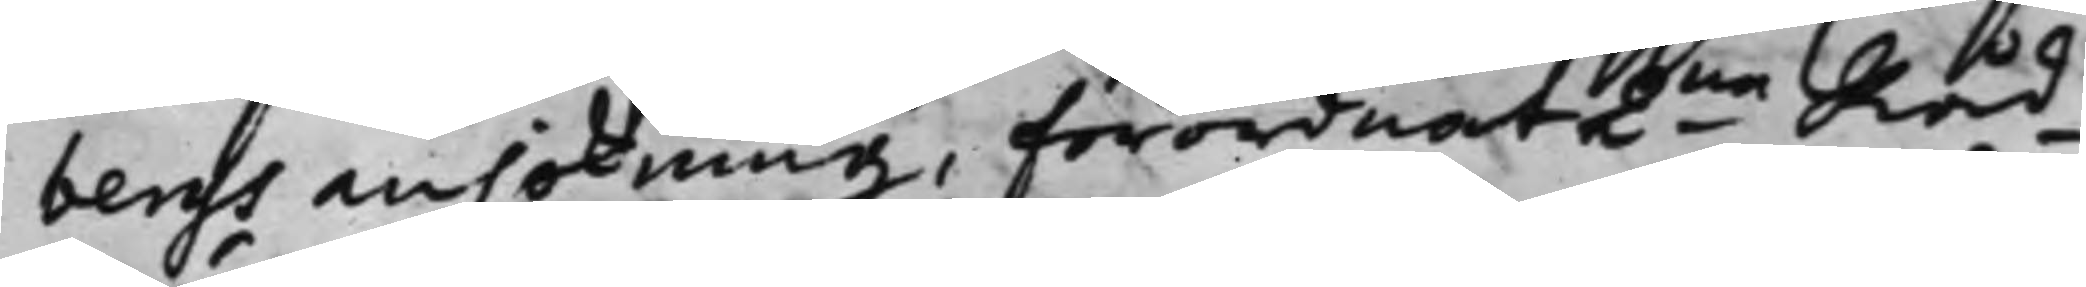bergs ansökning Förordnat 2ne Råd¬
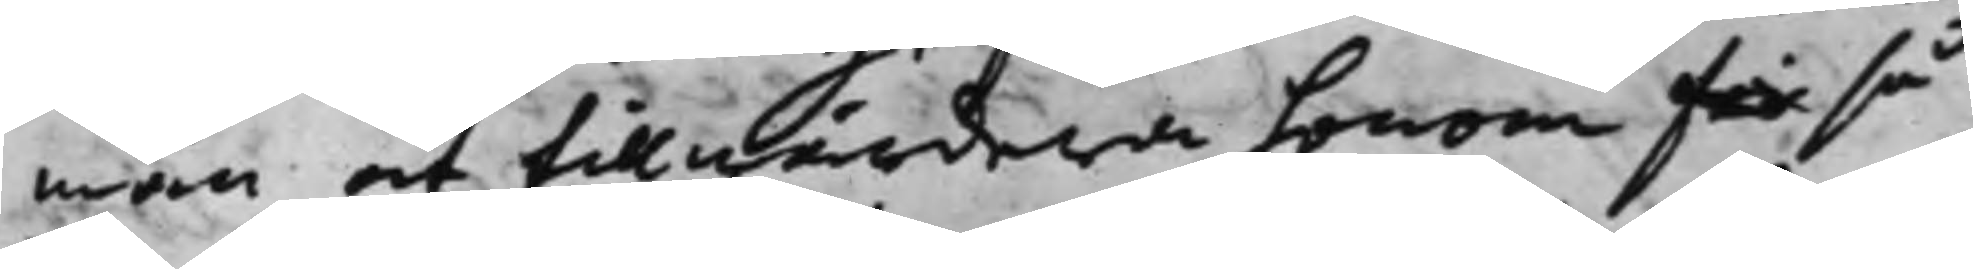män at tillwärdera honom för så
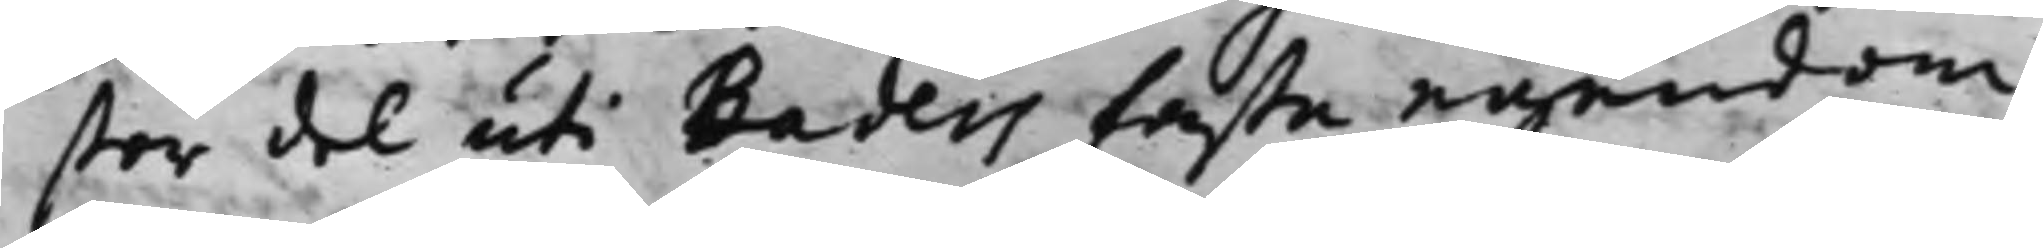stor del uti Baders fasta egendom,
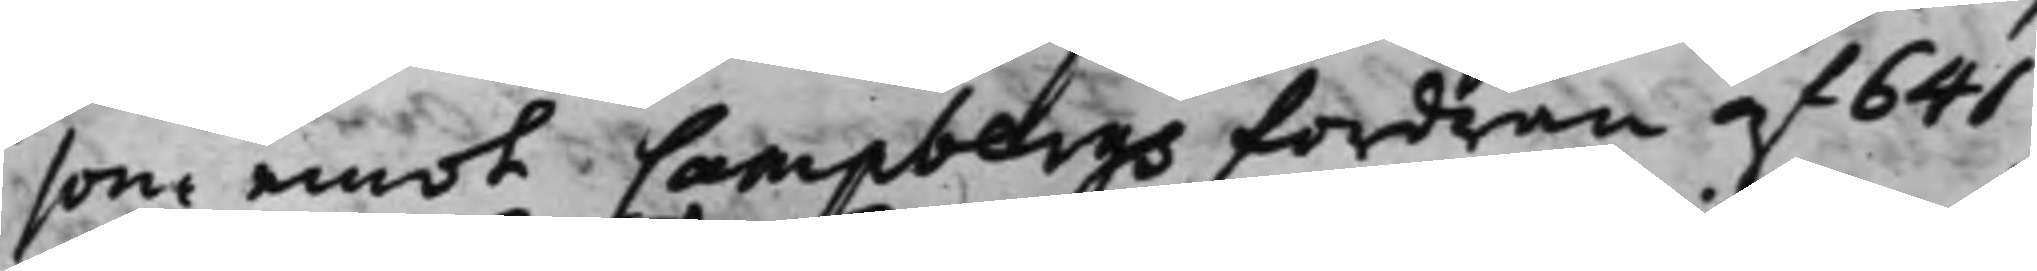som emot Campbergs fordran af 641
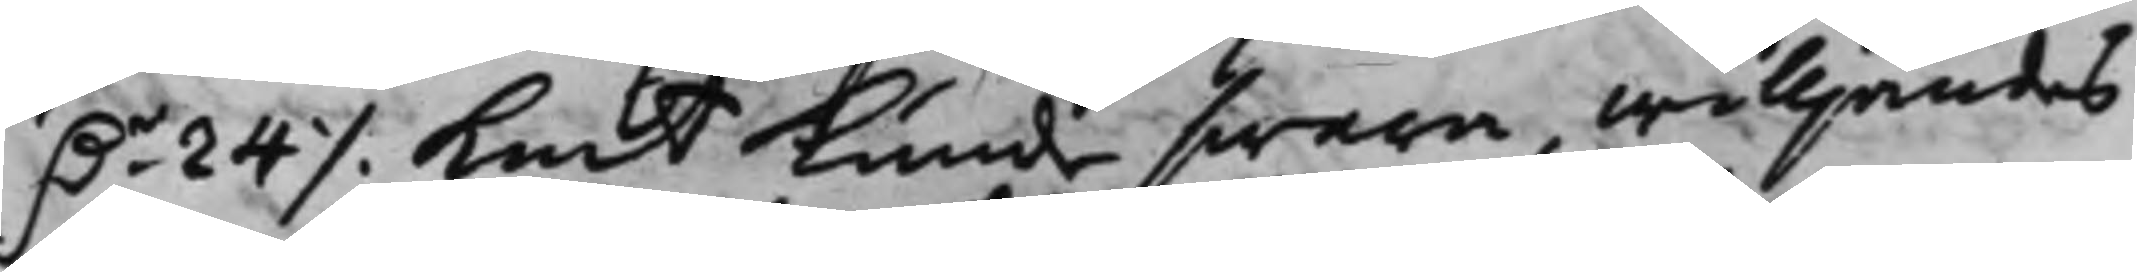D.r 24 ./. Kmt kunde swara, willjandes
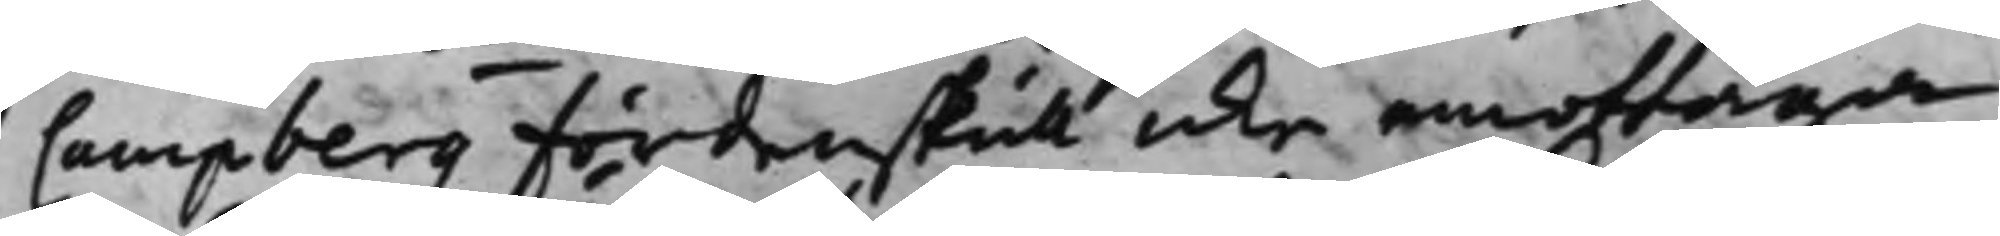Campberg fördenskull icke emottaga
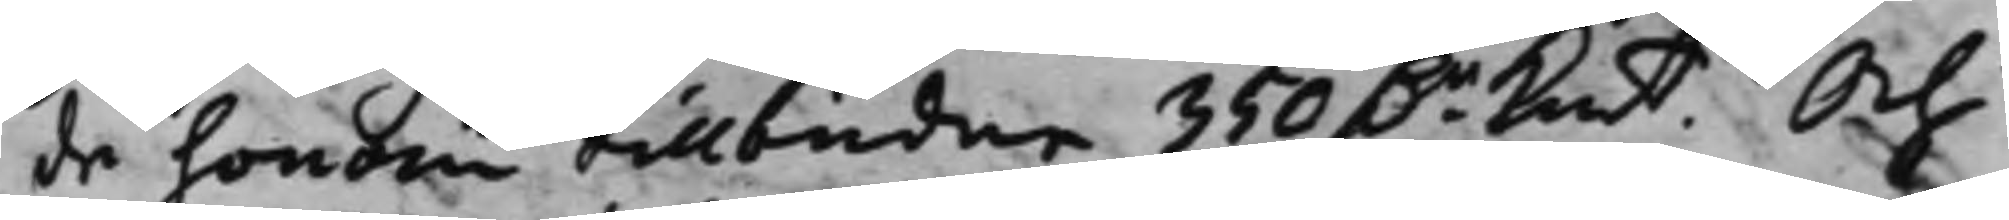de honom tillbudna 350 D.r Kmt. Och
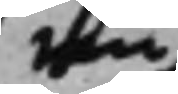nu
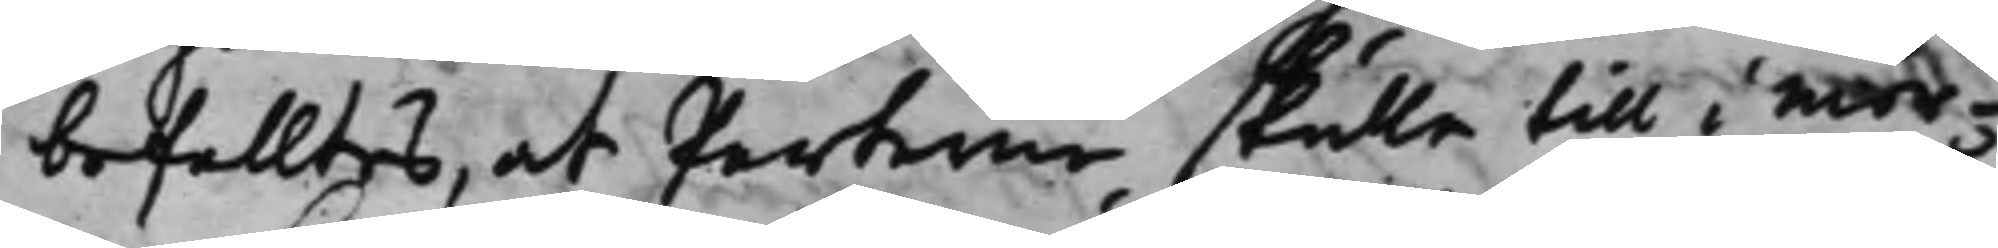befalltes, at Parterne skulle till i mor¬
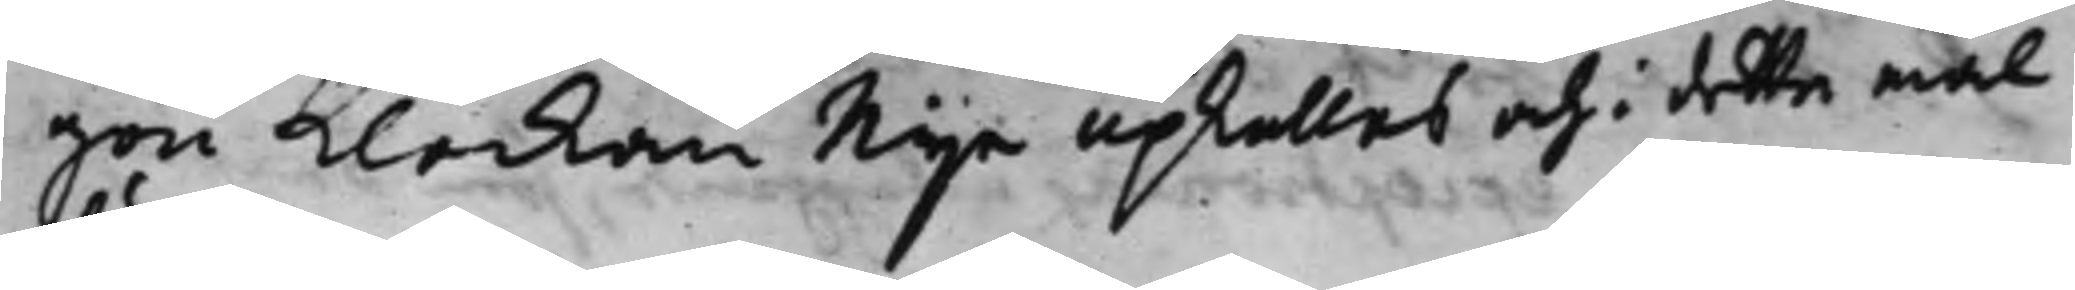gon Klockan Nije upkallas och i detta mål
